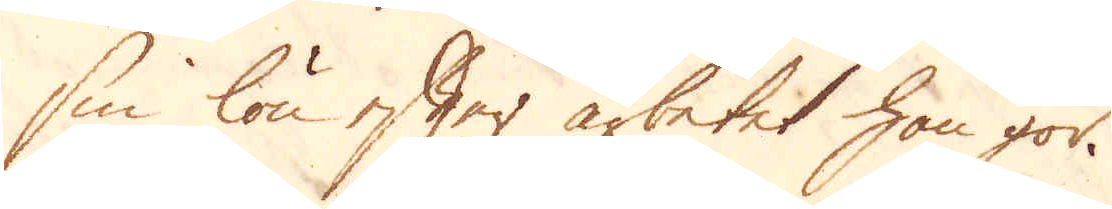sin lön efter arbetet han gör.
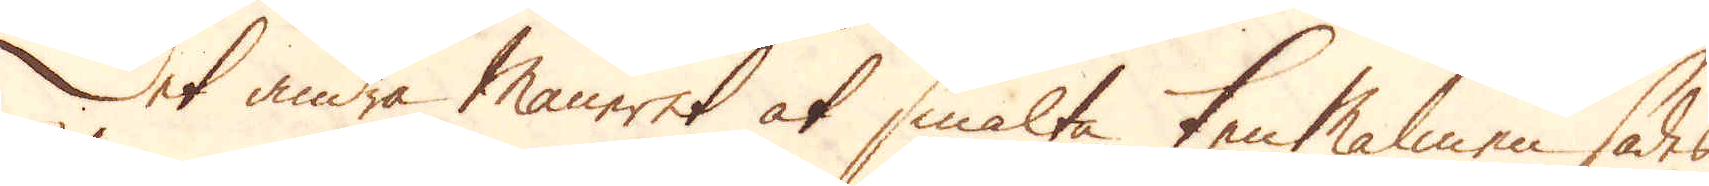Det andra maneret at smälta ten Malmen sades
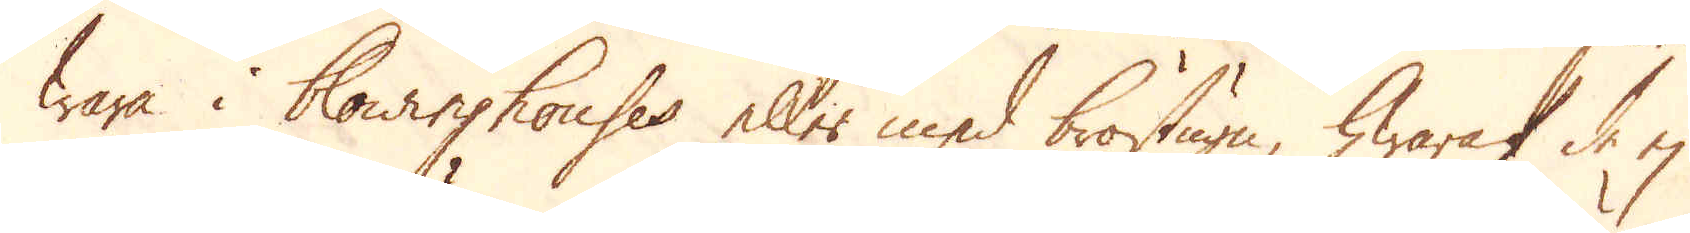wara i blowinghouses eller med bröstugn, hwaraf de ej
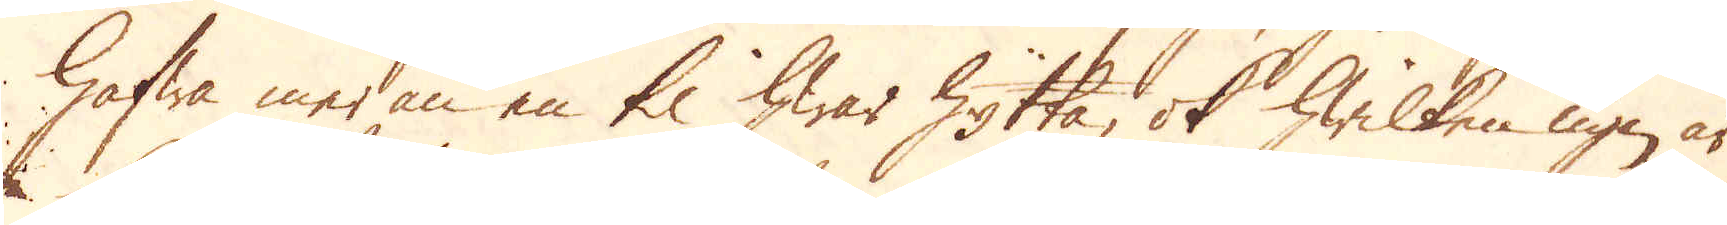hafwa medan en til hwar hytta, ok hwilken ugn är
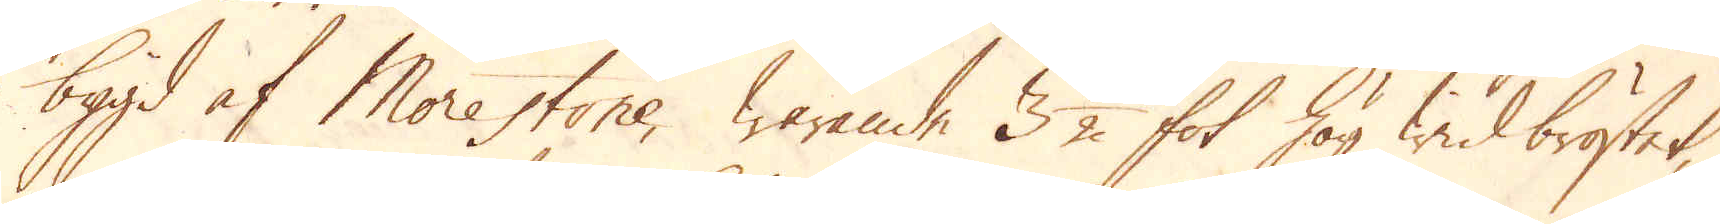bygd af Morestone, warande 3 1/2 fot hög wid bröstet,
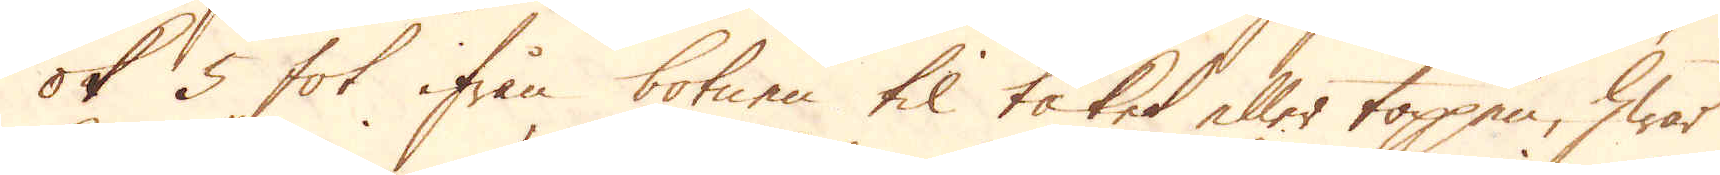ok 5 fot ifrån botnen til taket eller toppen, hwar
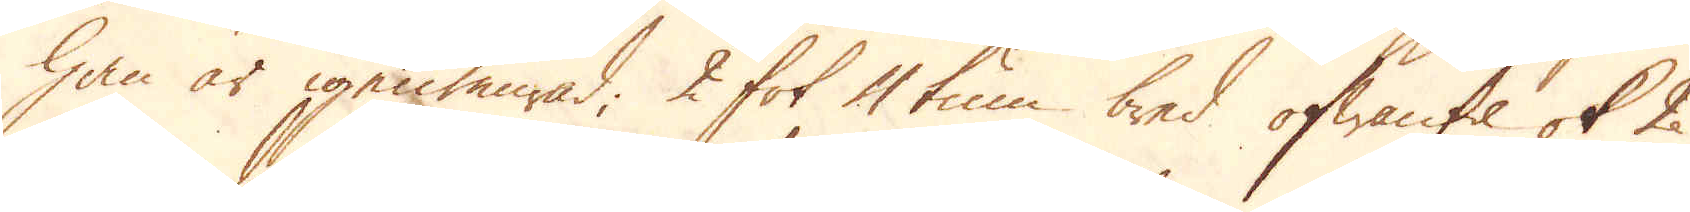han är igenmurad, 2 fot 4 tum bred ofwantil ok 2
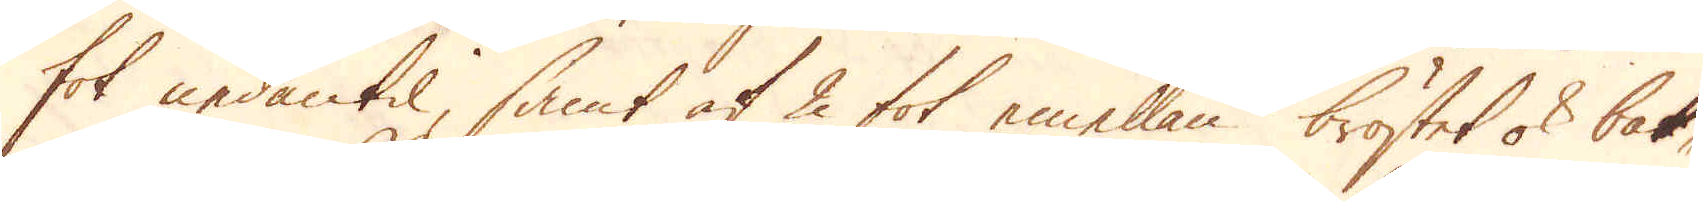fot nedantil, samt af 2 fot emellan bröstet ok bak-
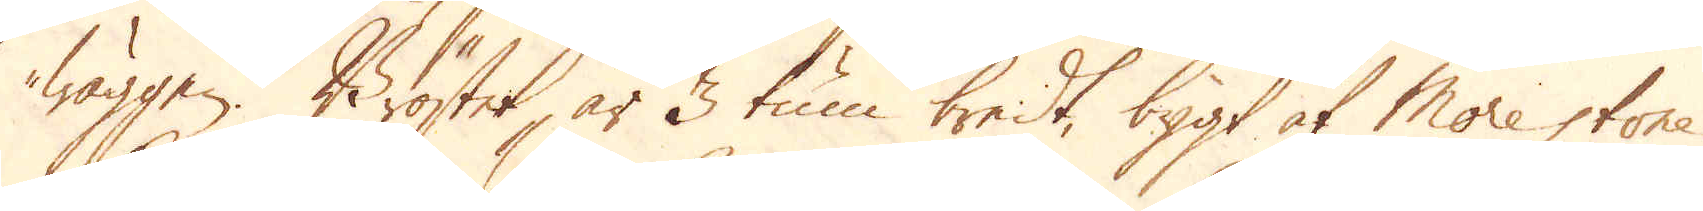wäggen. Bröstet, är 3 tum bredt, bygt af Morestone
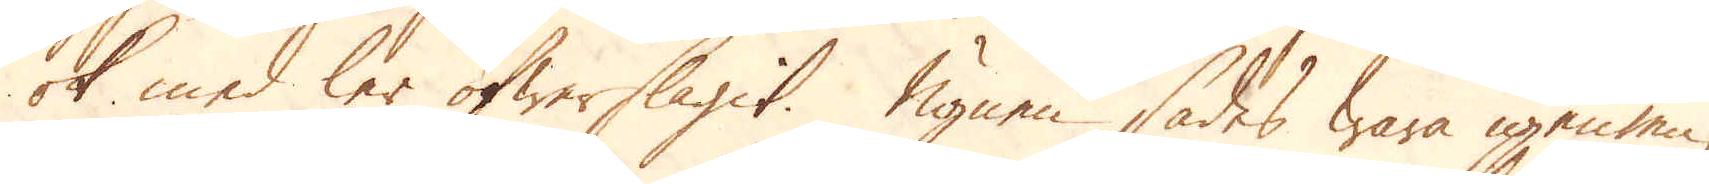ok med ler öfwerslagit. Ugnen sades wara igenmu-
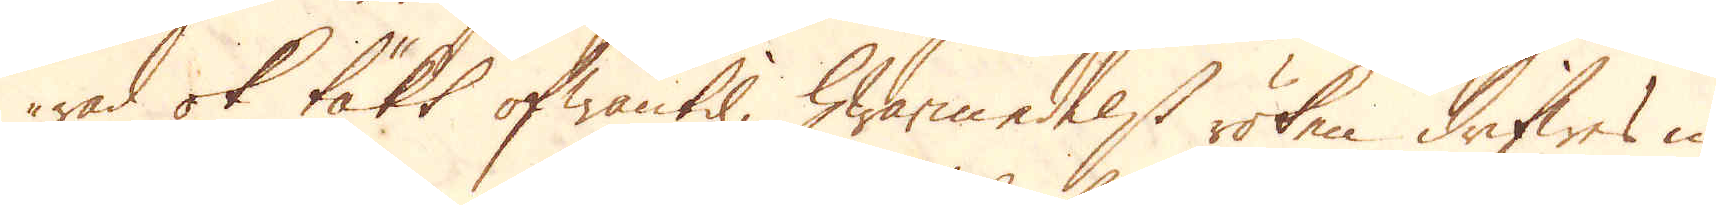rad ok täkt ofwantil, hwarmedelst röken drifwes in
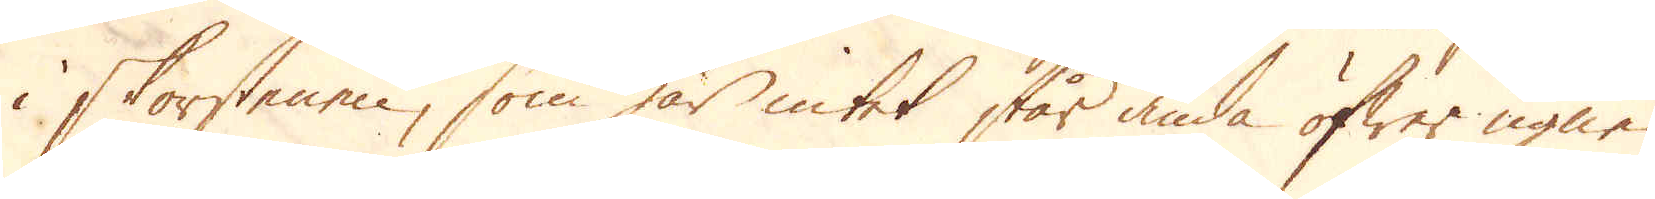i skorstenen, som här intet står ända öfwer ugnen
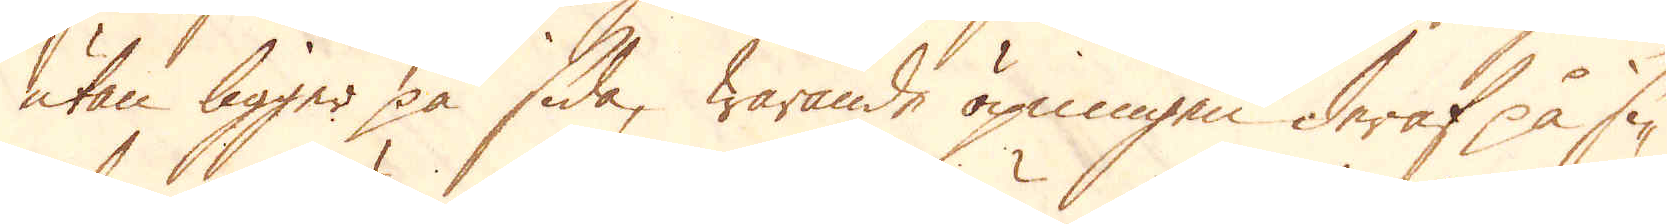utan ligger på sida, warande öpningen deraf på si-
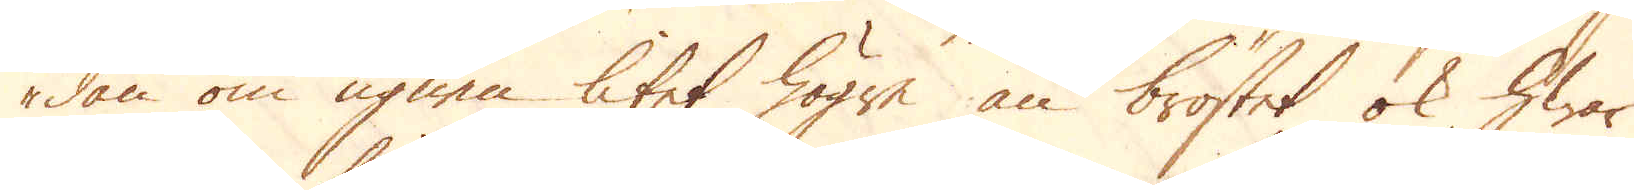dan om ugnen litet högre än bröstet, ok hwar
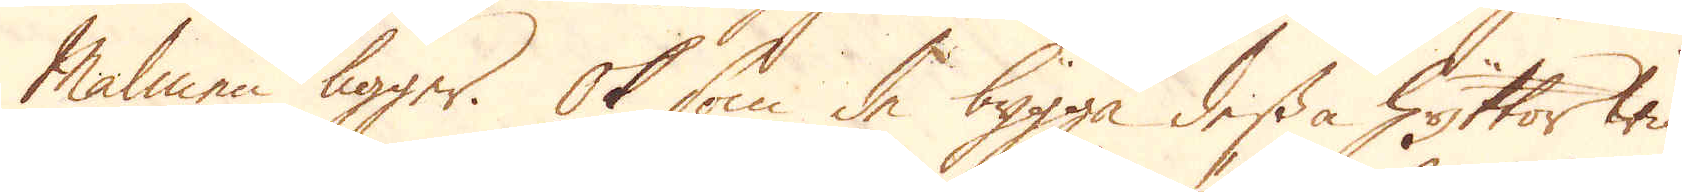Malmen ligger. Ok som de bygga dessa Hyttor wid
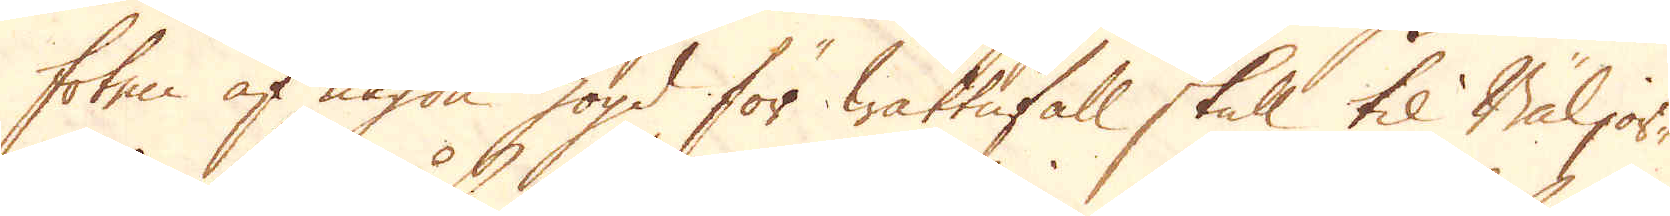foten af någon högd för wattufall skull til Bäljor-
